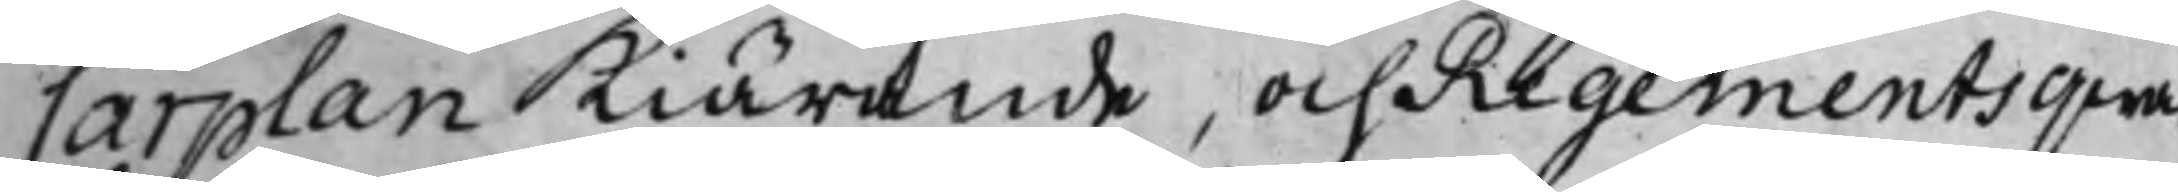Carplan Kiärande och Regementsqwar¬
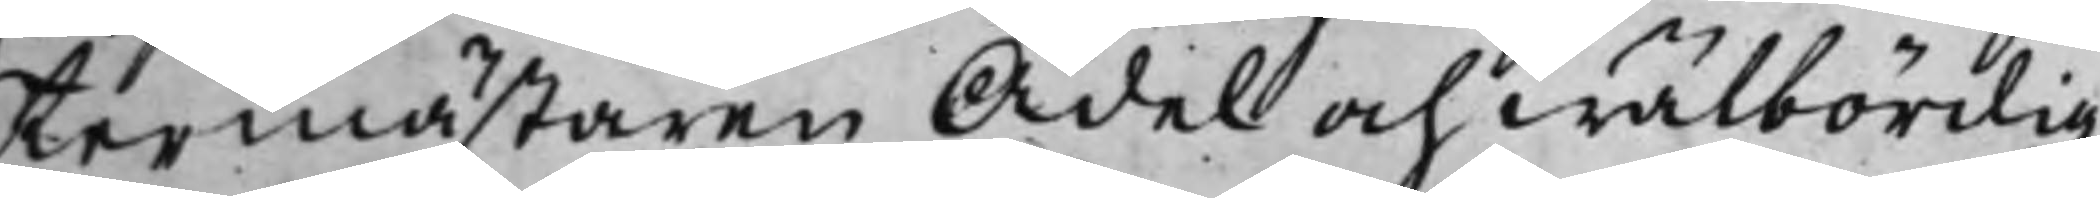termästaren Ädel och wälbördig
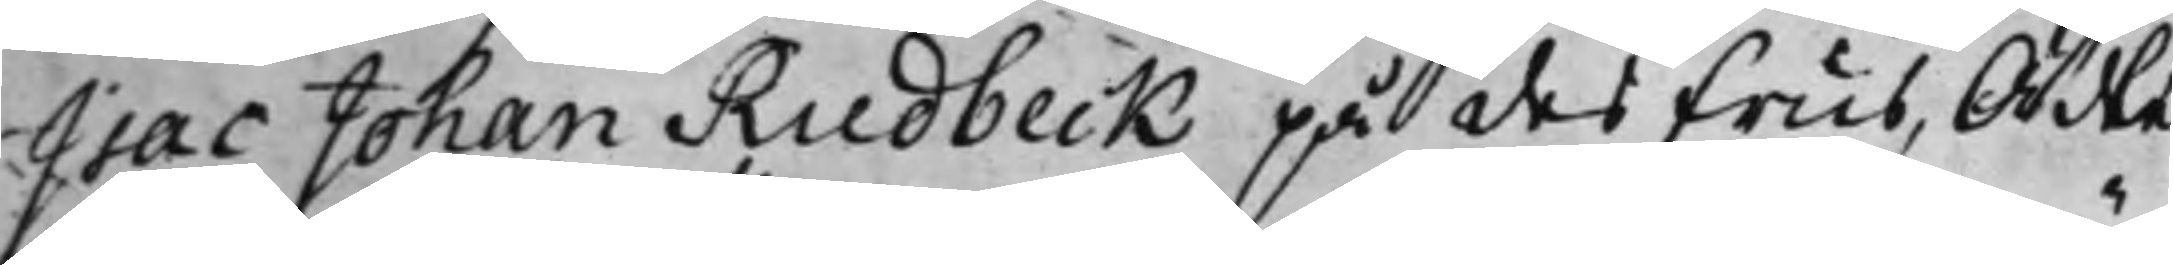Isac Johan Rudbeck på des Frus, Ädle
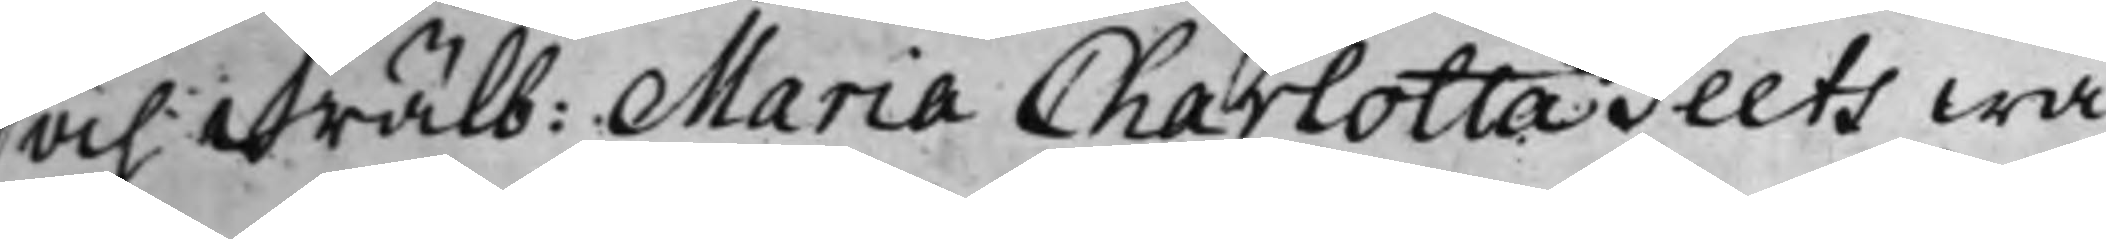och wälb: Maria Charlotta Teets wä¬
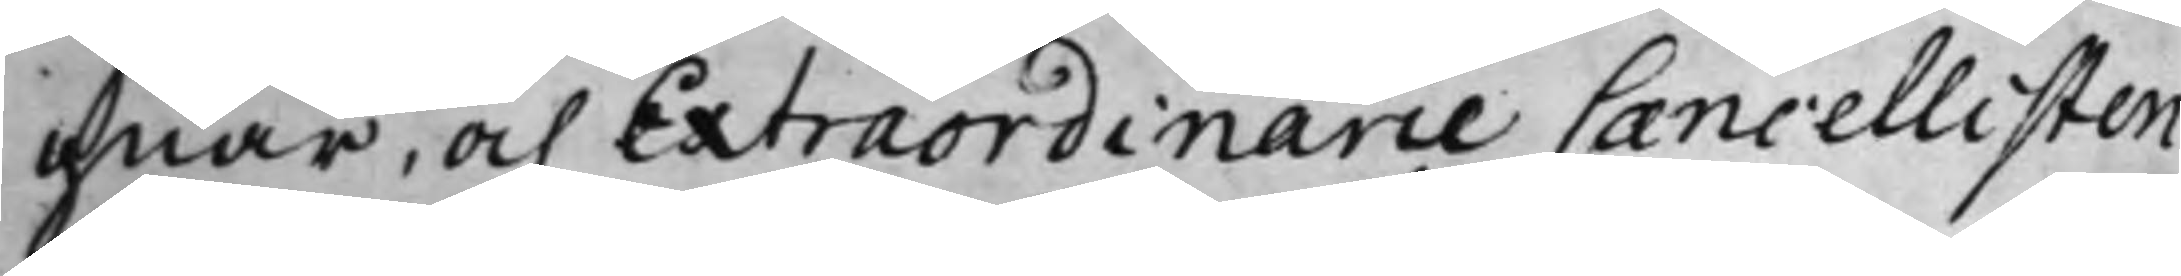gnar, och Extraordinarie Cancellisten
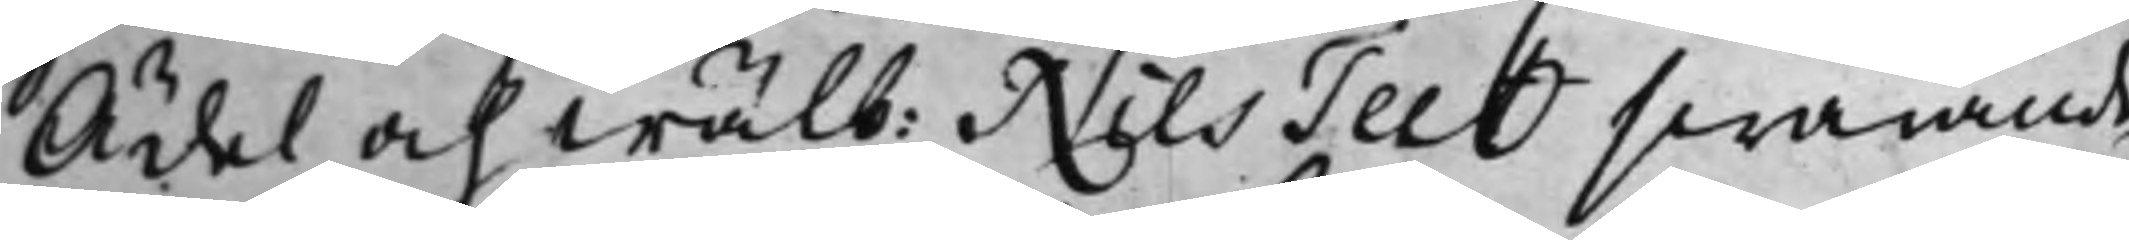Ädel och wälb: Nils Teet swarande
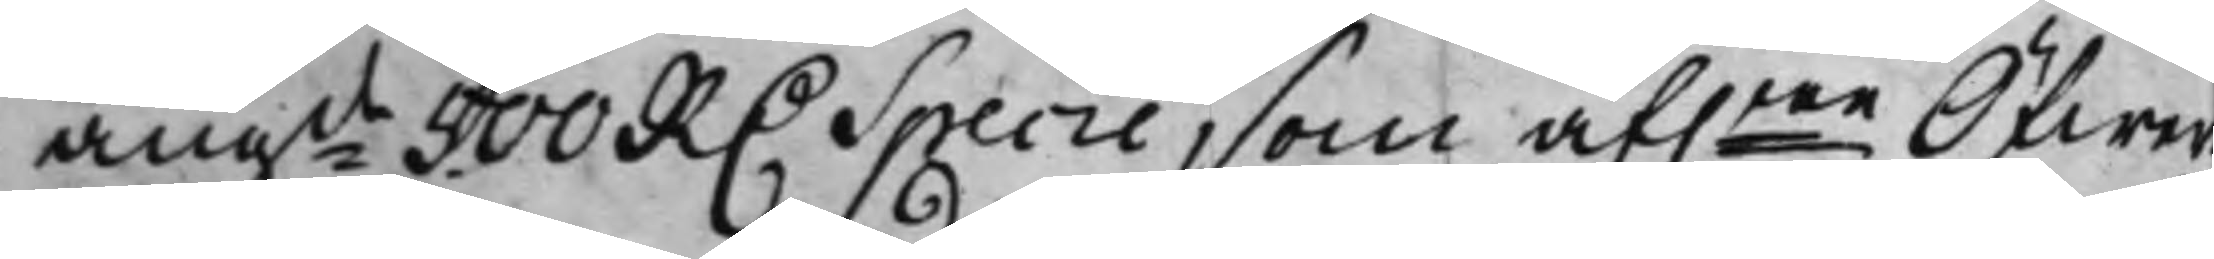angde 500 RD. Specie, som af.ne Öfwer¬
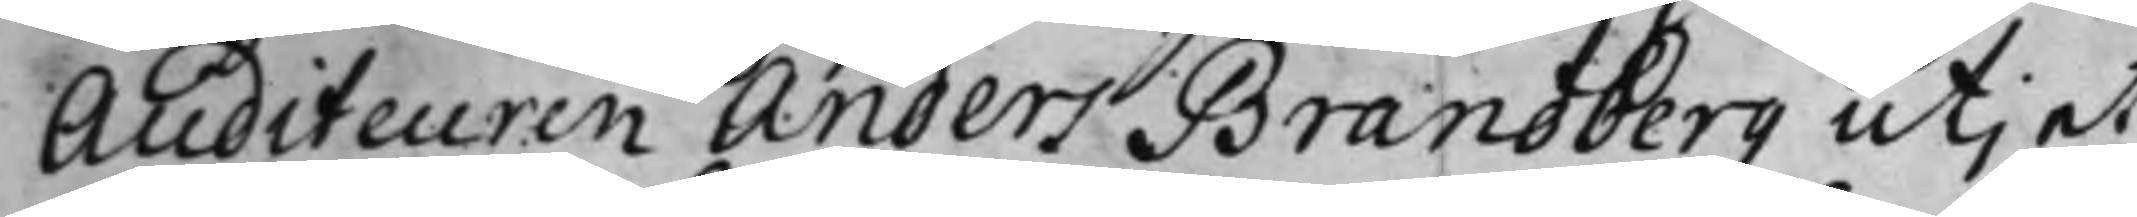Auditeuren Anders Brandberg utj et
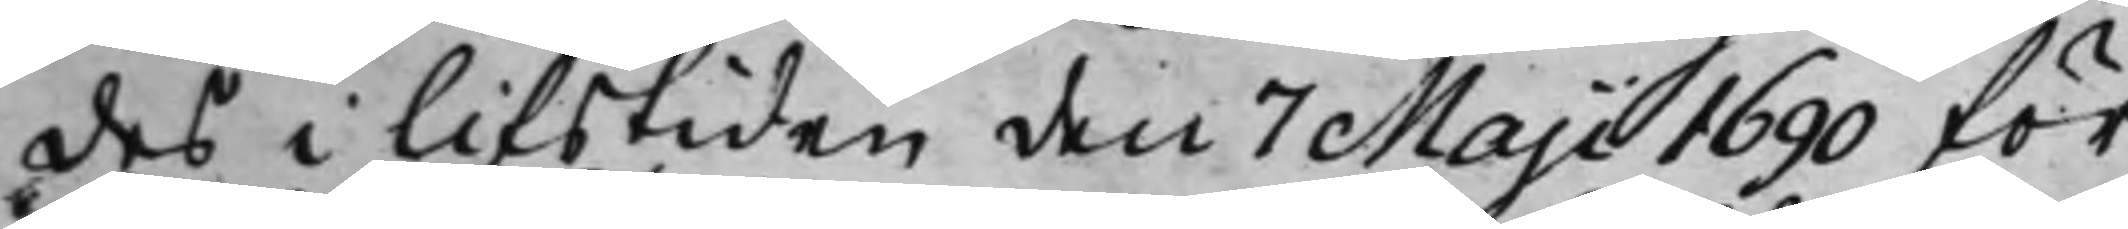des i lifstiden den 7 Maji 1690 för¬
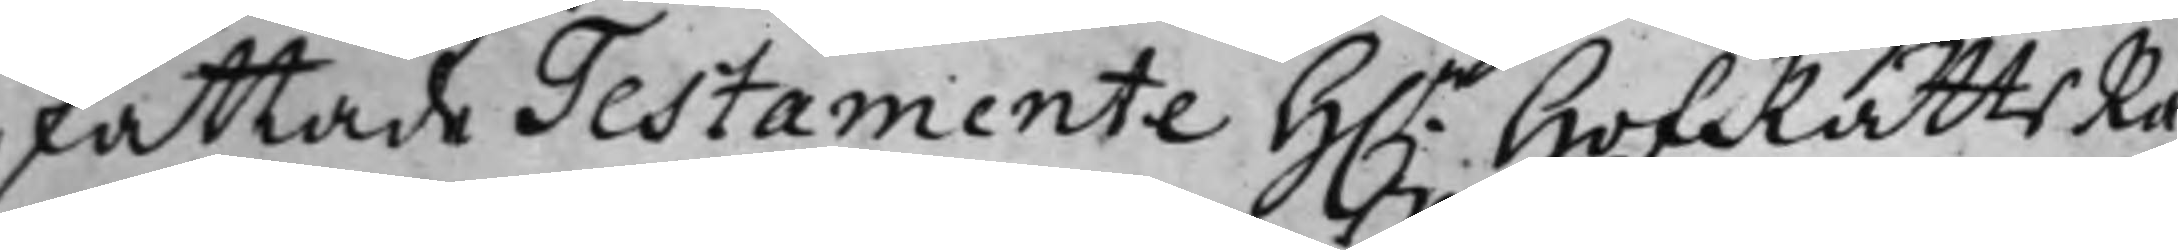fattade Testamente H.r HofRättsRå¬
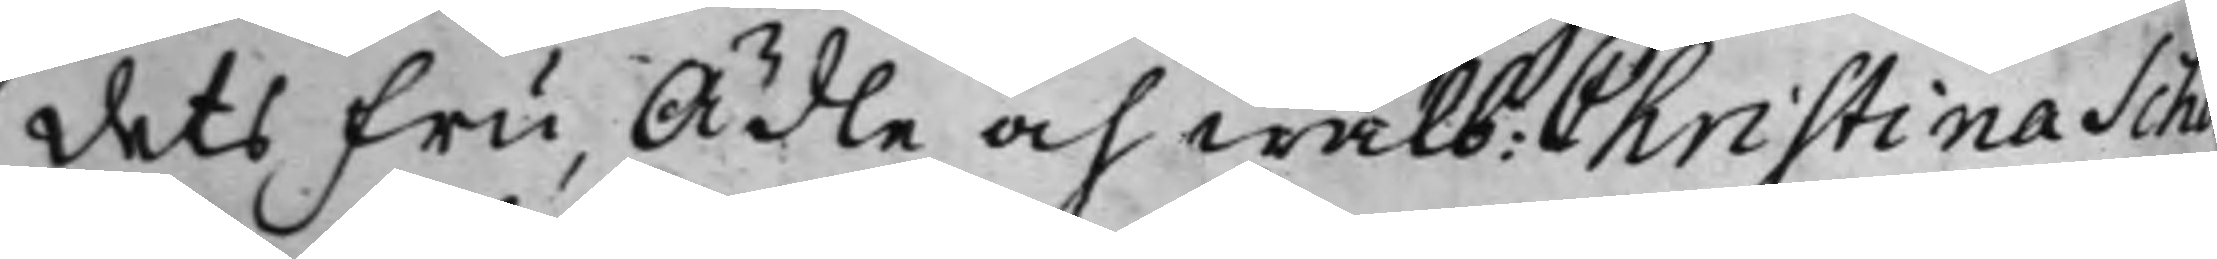dets Fru, Ädle och wälb: Christina Sch
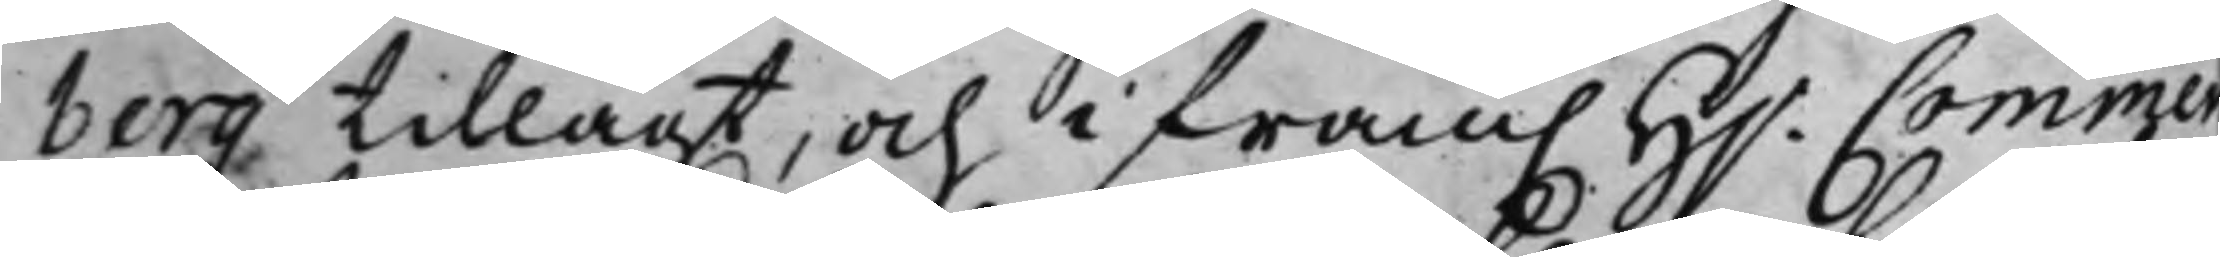berg tillagt, och i fram. H.r Commerce¬
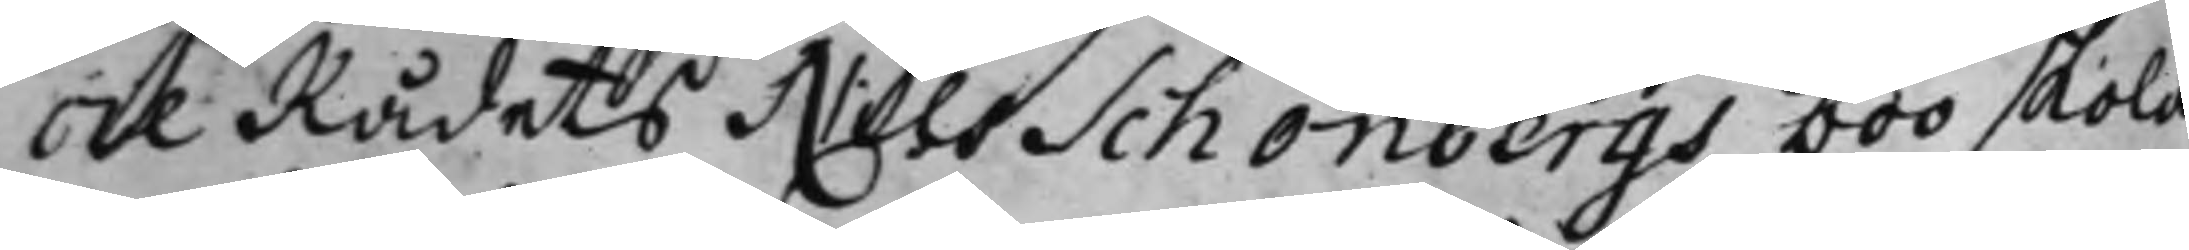ceRådets Nils Schönbergs boo skola
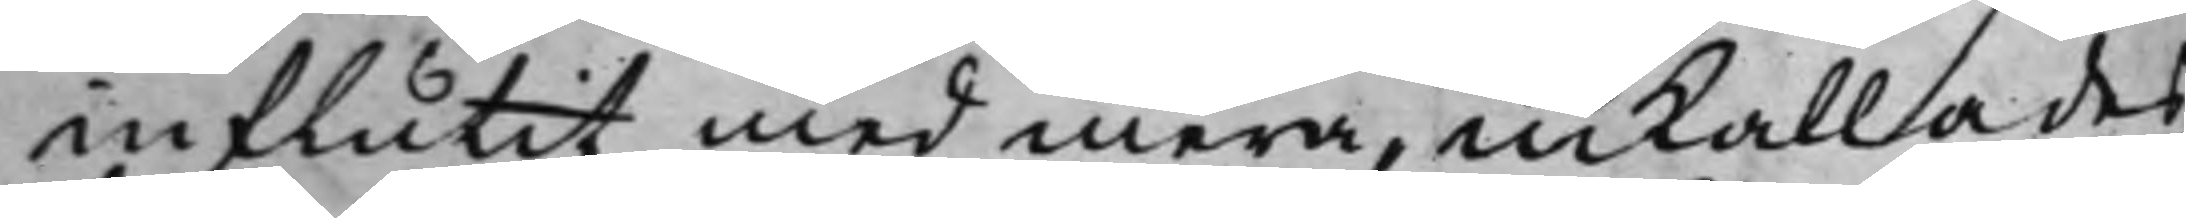influtit med mera, inkallades
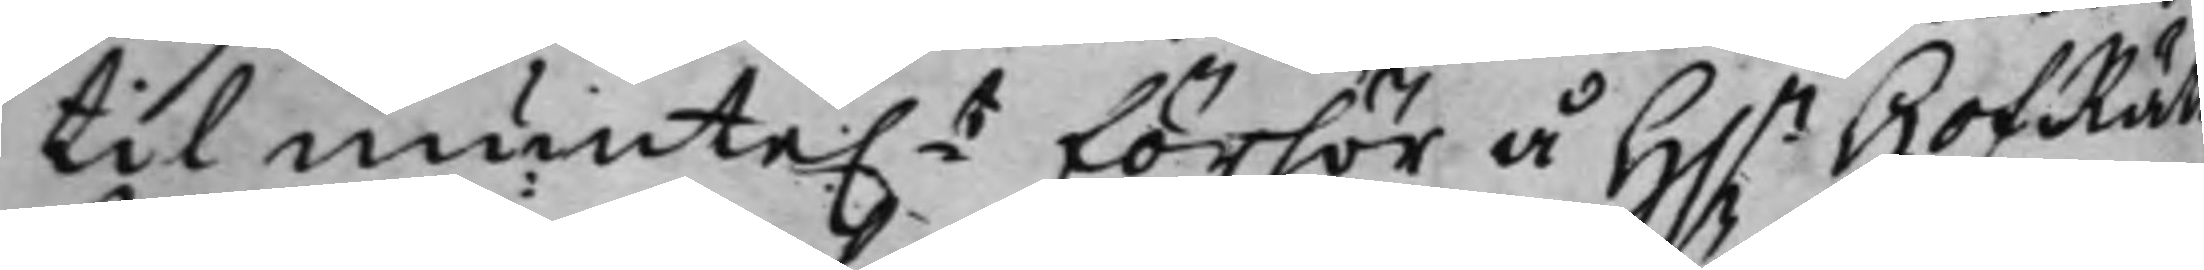til munte.t förhör å H.r HofRätts¬
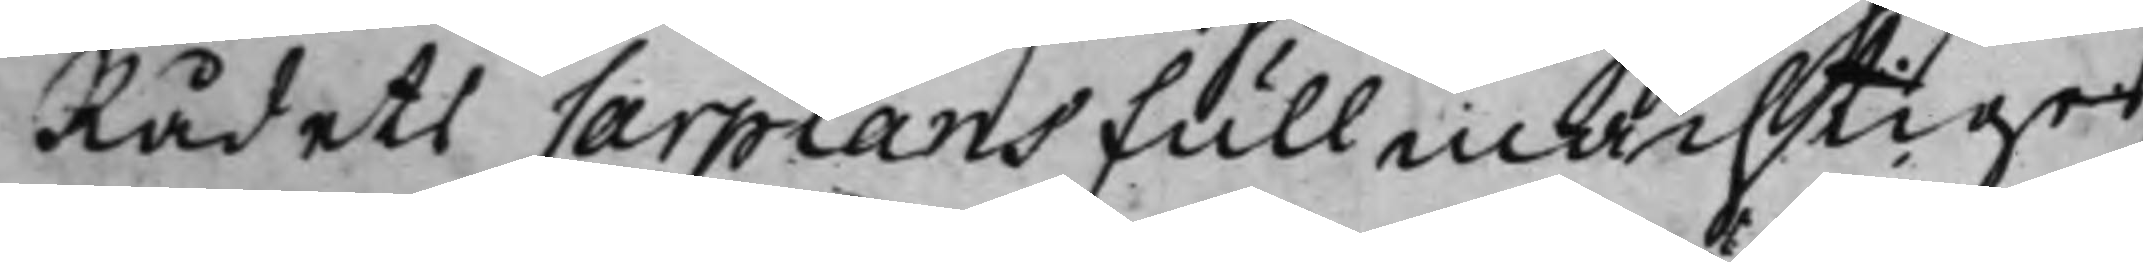Rådets Carplans Fullmächtiger,
